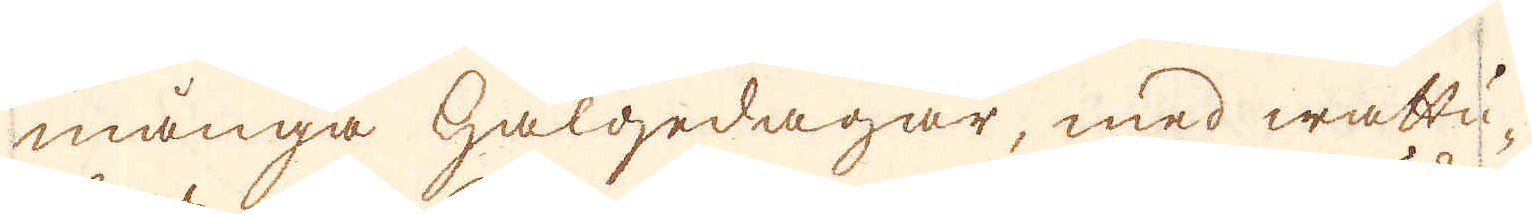många hälgedagar, med wattu-
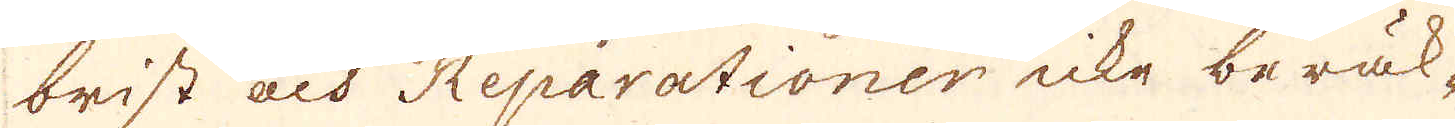brist och Reparationer icke beräk-
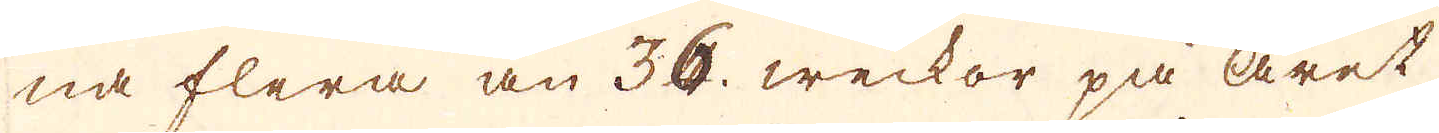na flera än 36. weckor på året
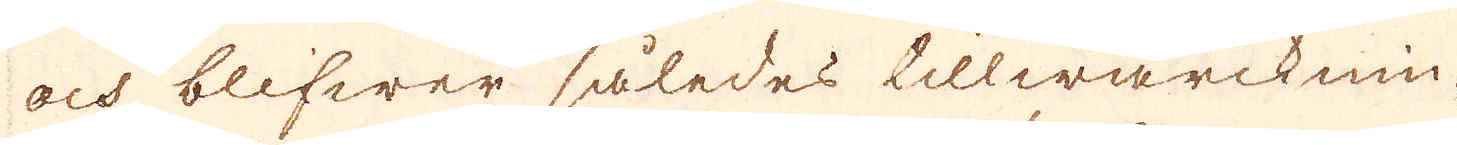och blifwer således tillwärcknin-
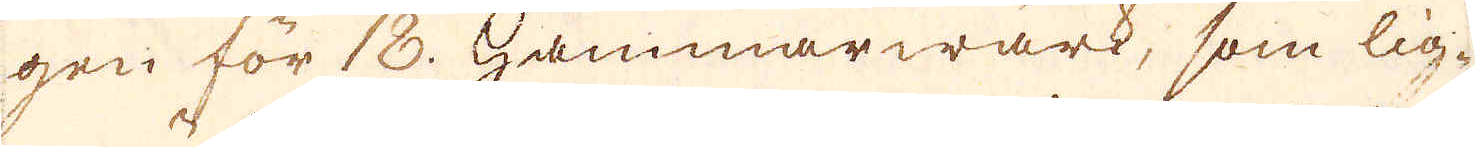gen för 18. hammarwärk, som lig-
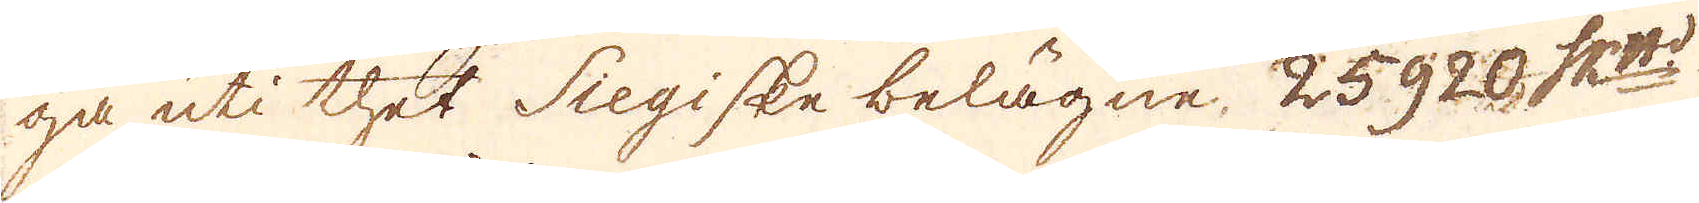ga uti thet Siegiske belägne, 25920 Sk.pund:t
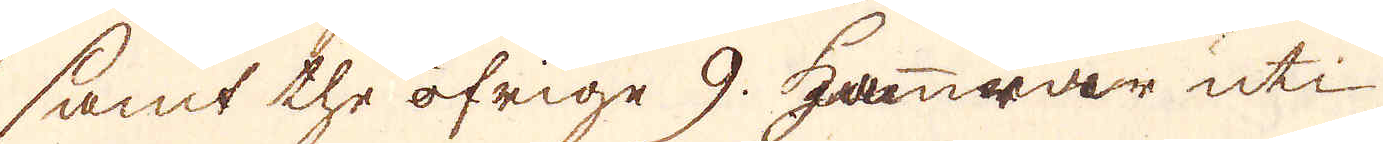samt the öfrige 9. hamrar uti
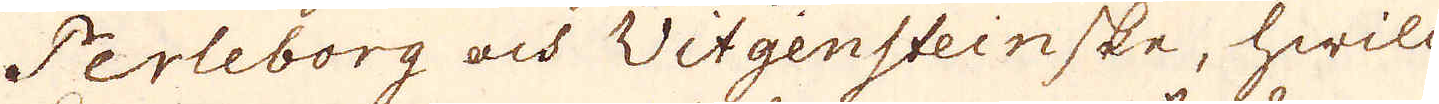Perleborg och Witgensteinske, hwill-
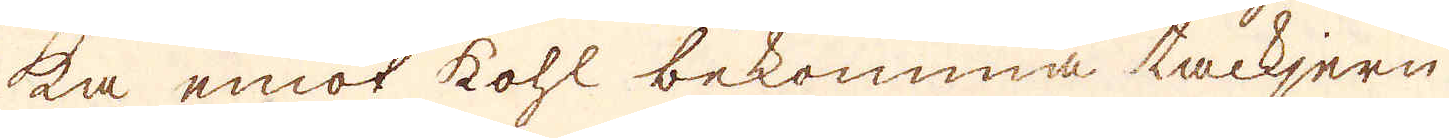ka emot kohl bekomma tackjern
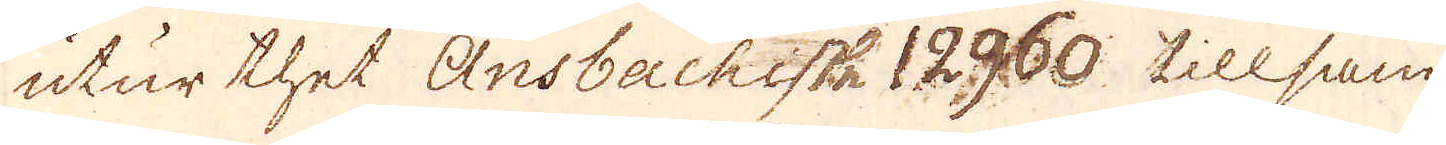utur thet Ansbackestz 12960. tillsam-
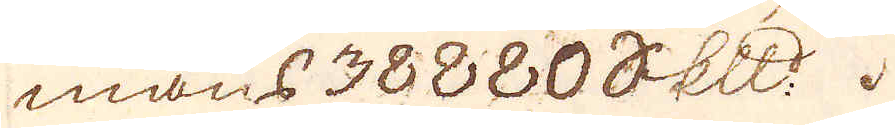mans 38880 Skeppund.
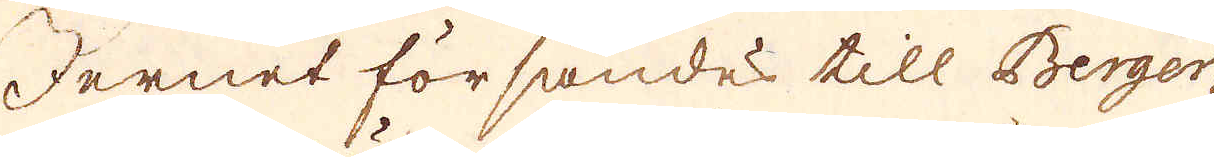Jernet försändes till Berger-
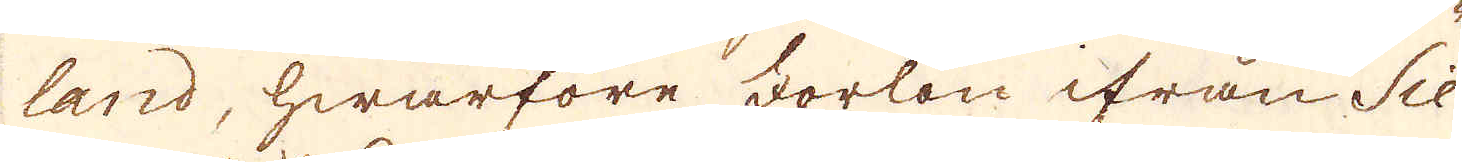land, hwarföre Forlön ifrån Sie-
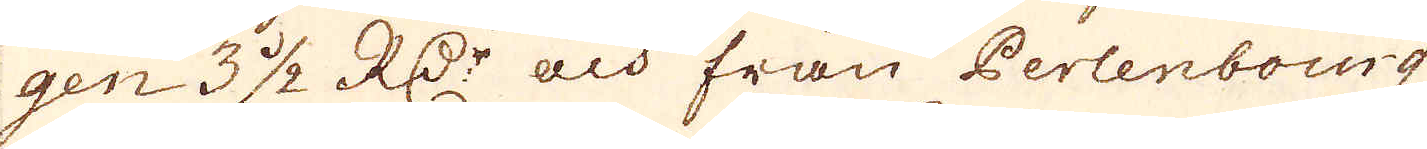gen 3 1/2 R:Dr och från Perlenbourg
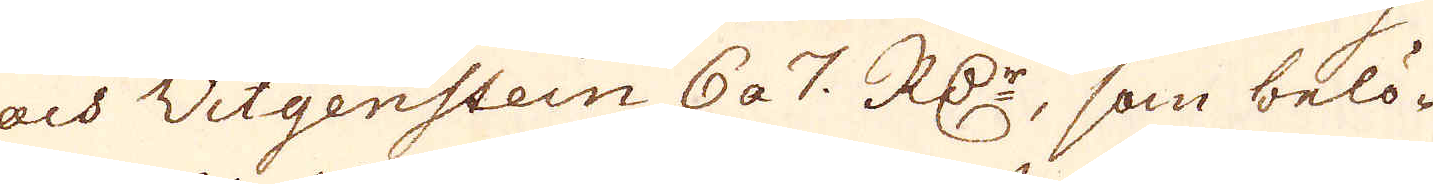och Witgenstein 6 a 7. RD:r, som belö-
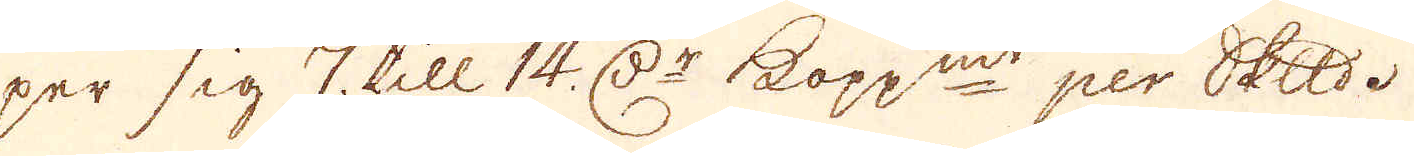per sig 7. till 14. D:r kopp:mt per skeppund.
